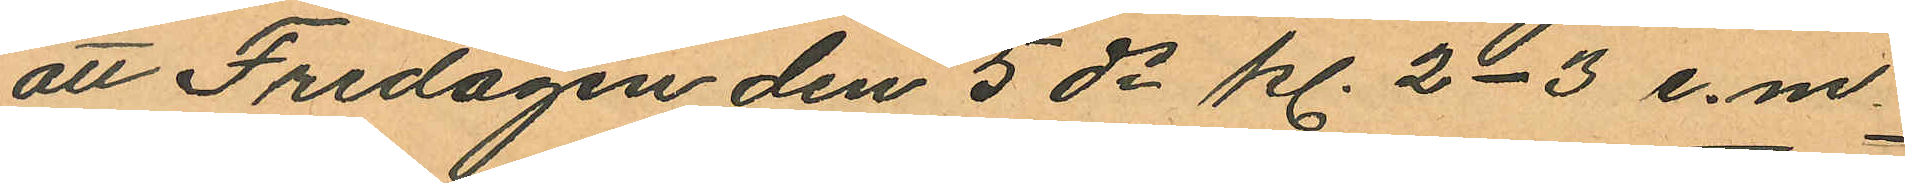att Fredagen den 5 ds kl. 2-3 e.m.
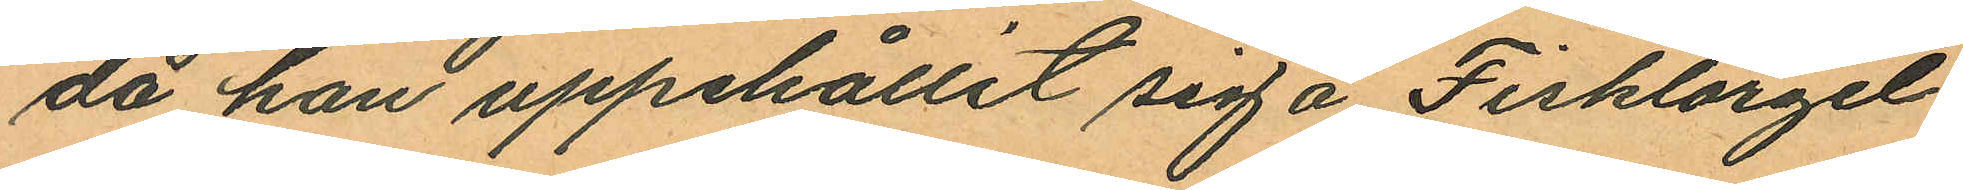då han uppehållit sig å Fisktorget
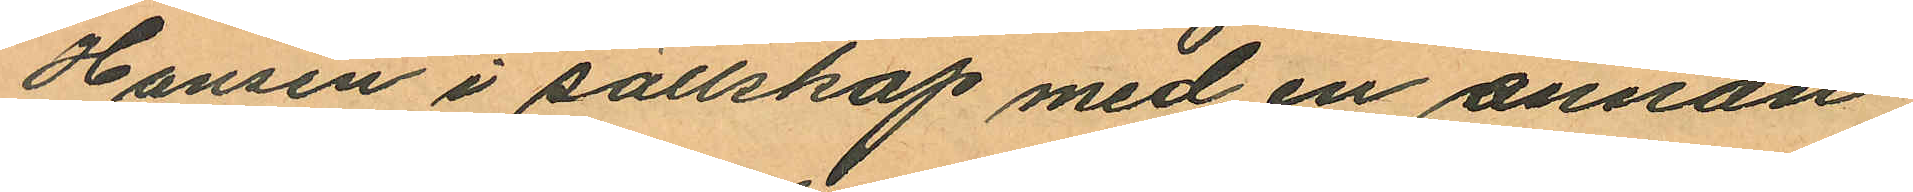Hansen i sällskap med en annan
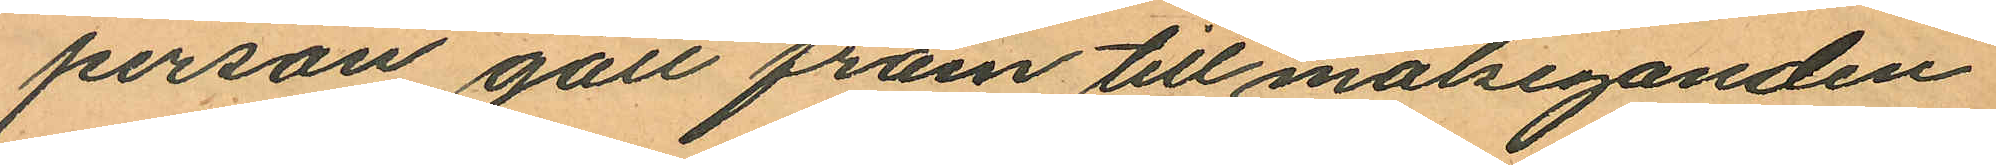person gått fram till målseganden
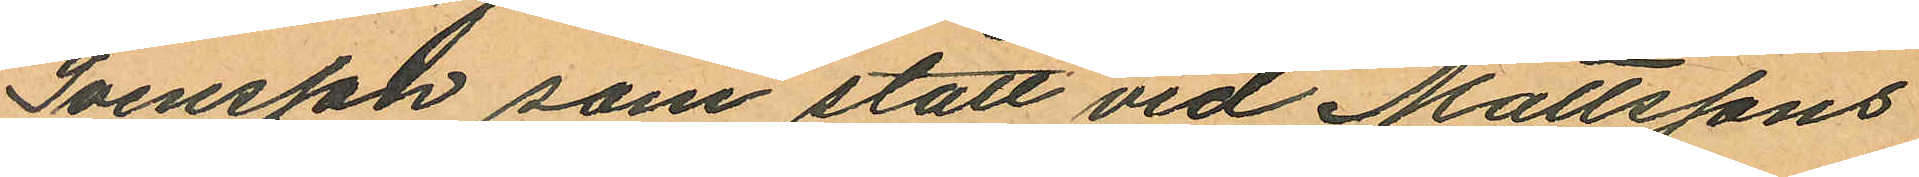Svensson som stått vid Mattssons
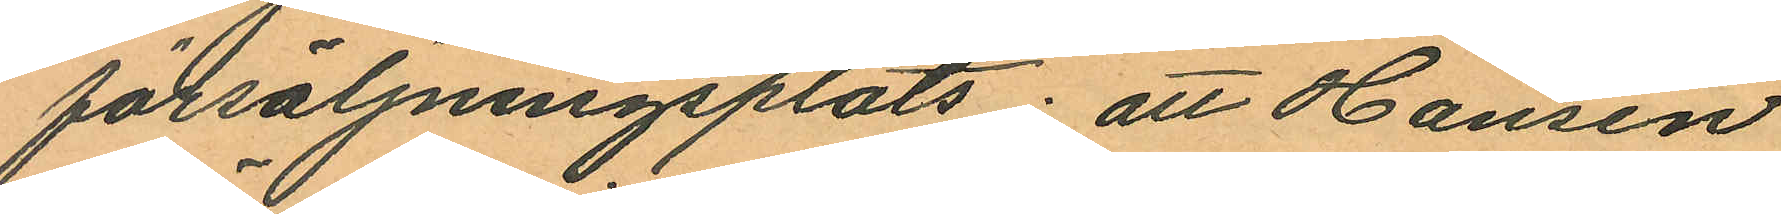försäljningsplats; att Hansen
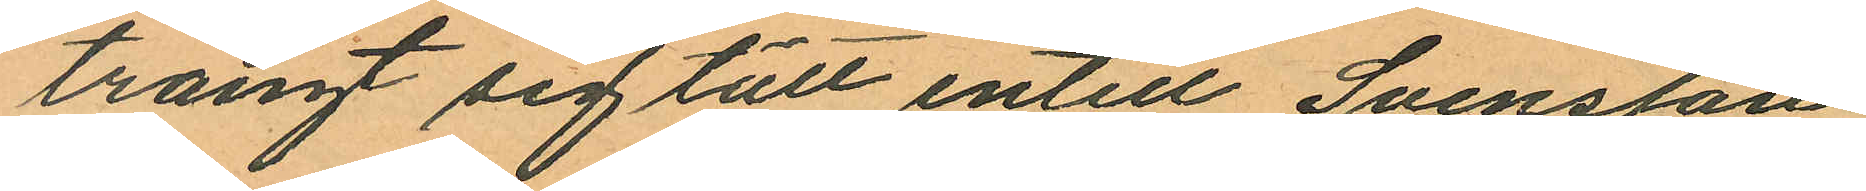trängt sig tätt intill Svensson
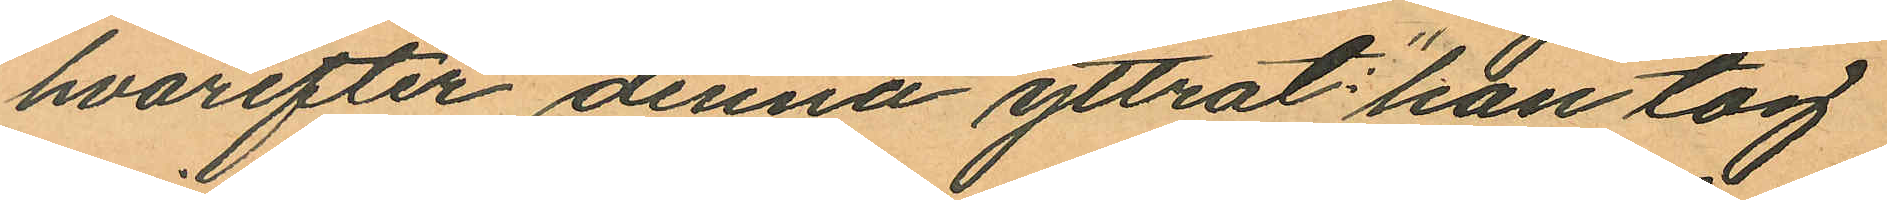hvarefter denna yttrat: "han tog
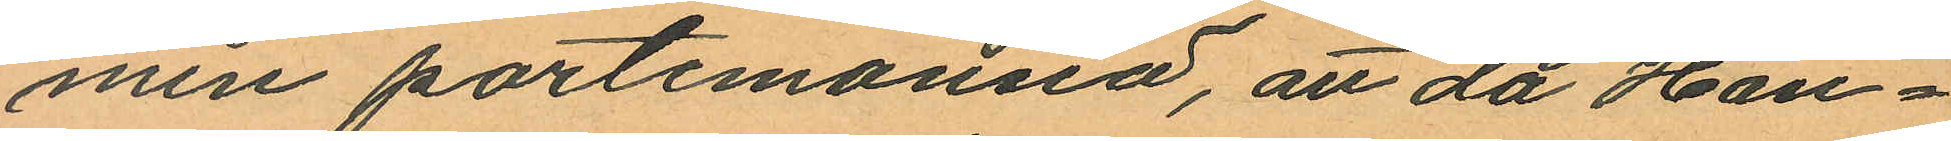min portemonnä, att då Han¬
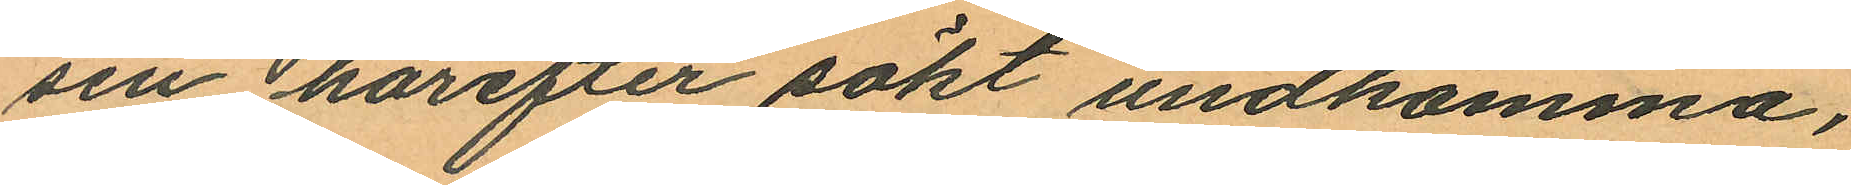sen härefter sökt undkomma,
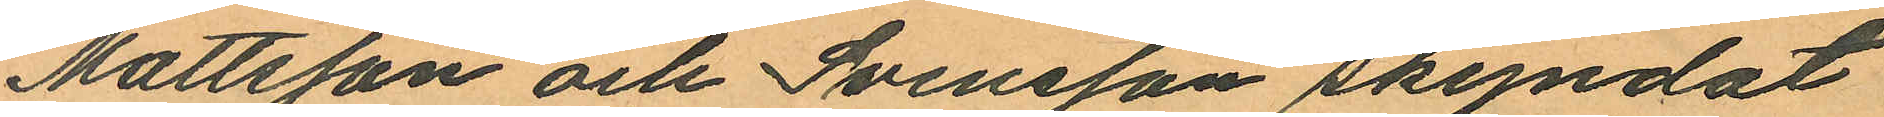Mattsson och Svensson skyndat
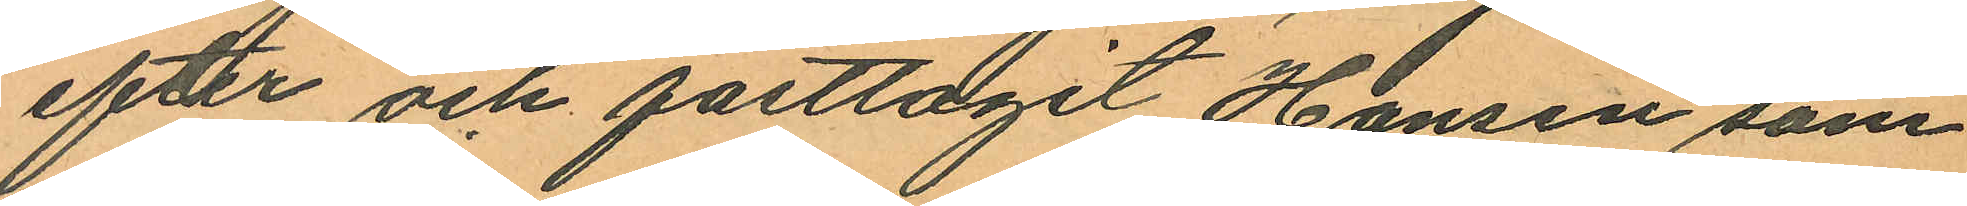efter och fasttagit Hansen som
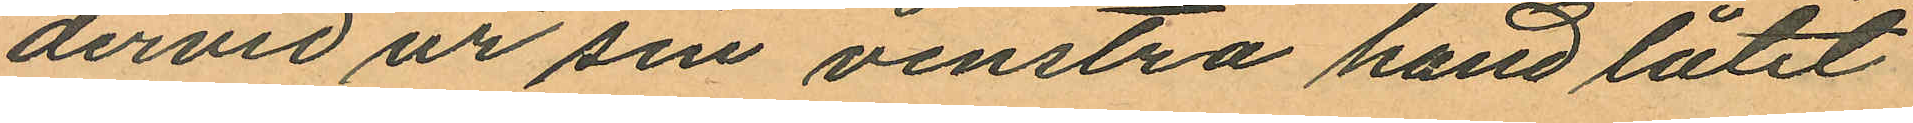dervid ur sin venstra hand låtit
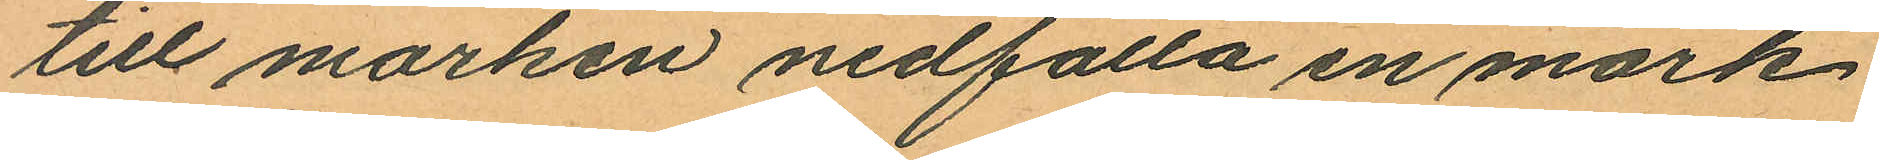till marken nedfalla en mörk
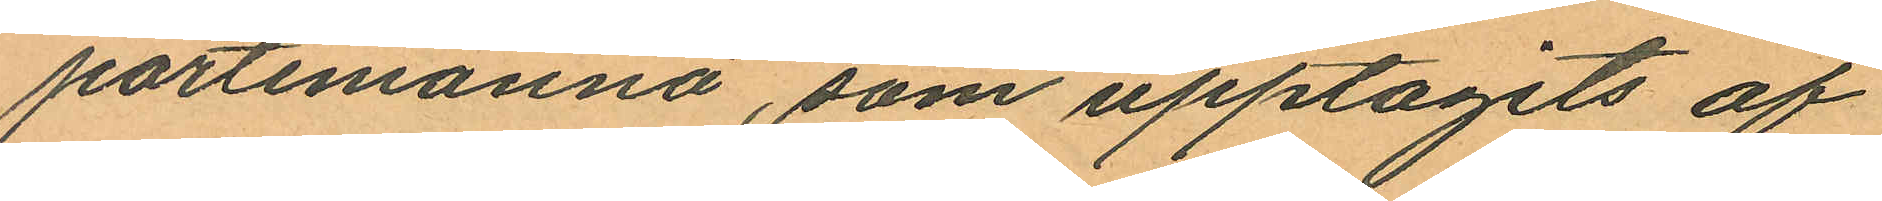portemonnä, som upptagits af
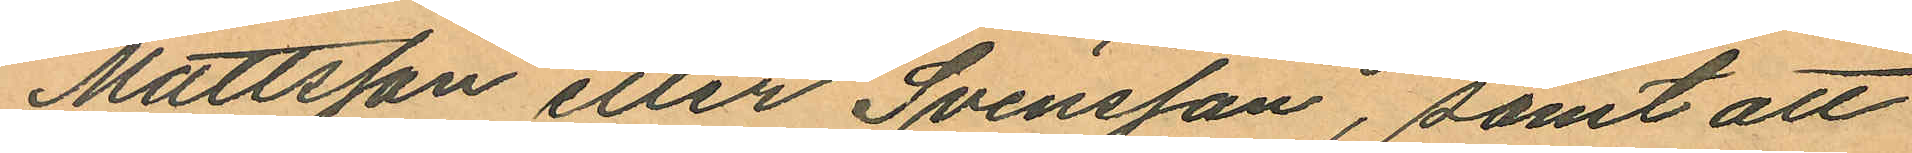Mattsson eller Svensson, samt att
